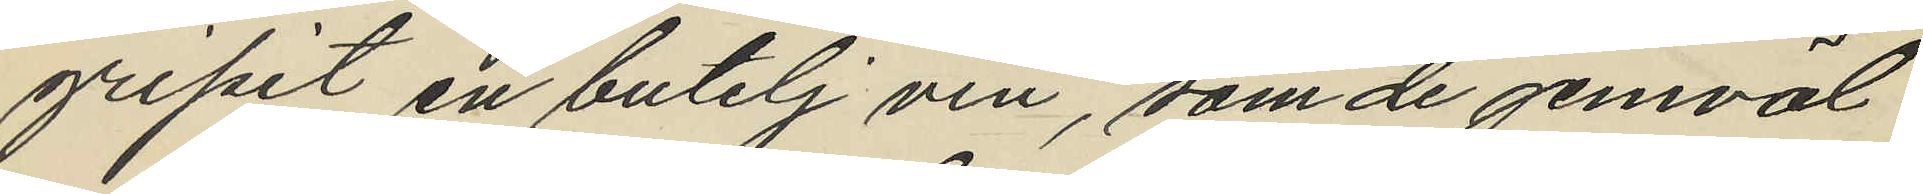gripit en butelj vin, som de jemväl
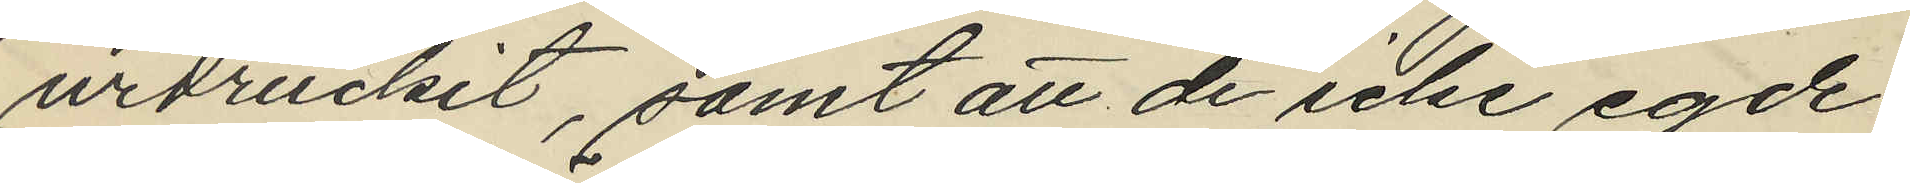urdruckit, samt att de icke egde
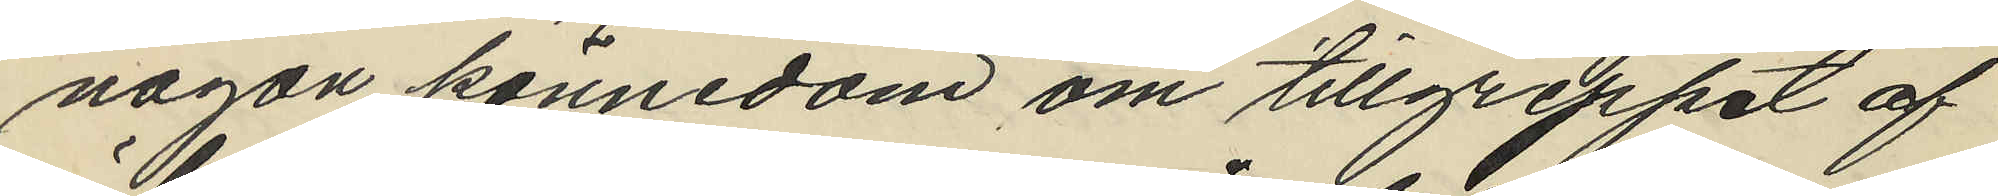någon kännedom om tillgreppet af
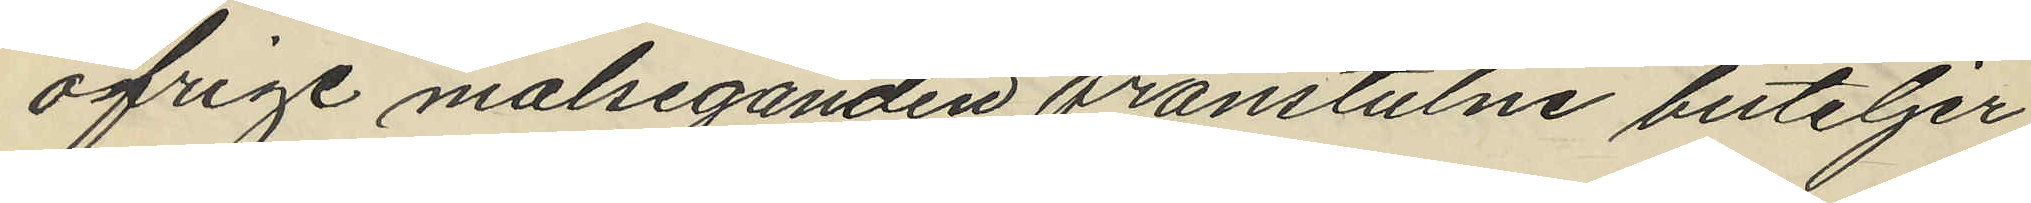öfrige målseganden frånstulne buteljer
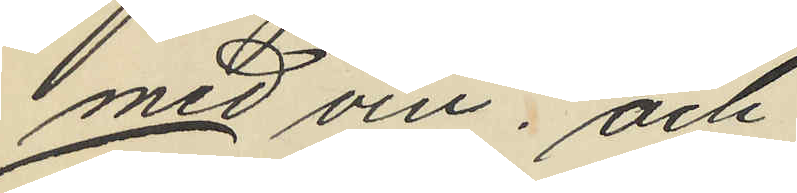med vin; och
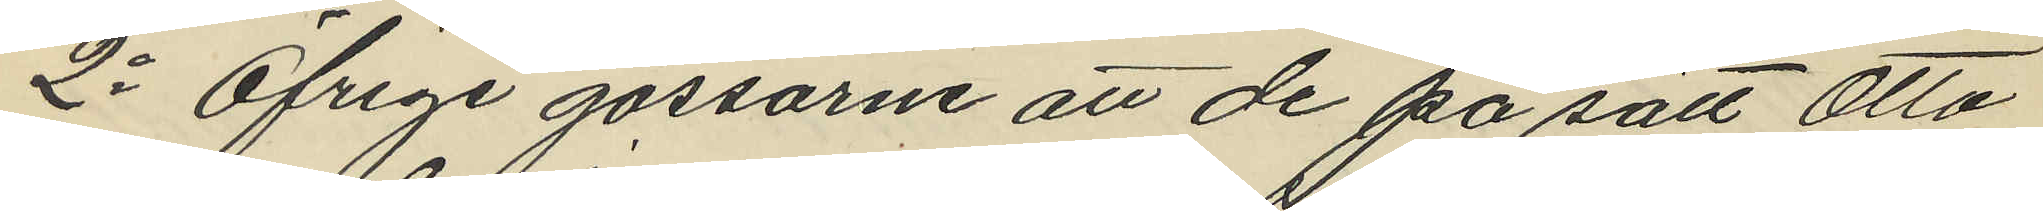2o Öfrige gossarne att de på sätt Otto
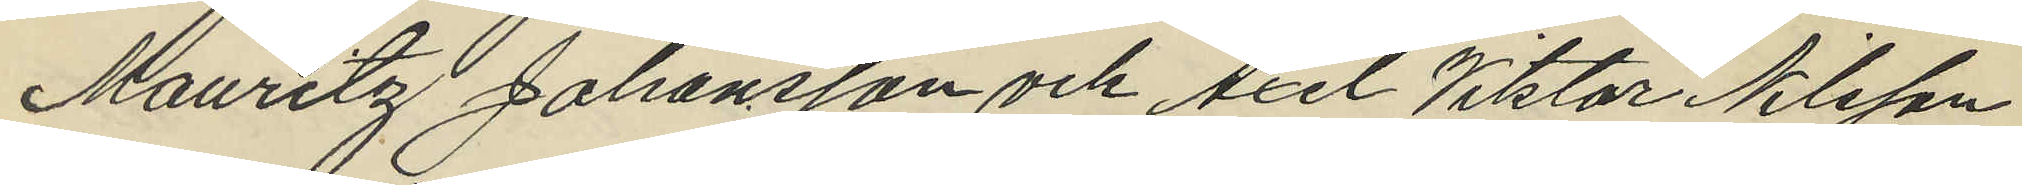Mauritz Johansson och Axel Viktor Nilsson
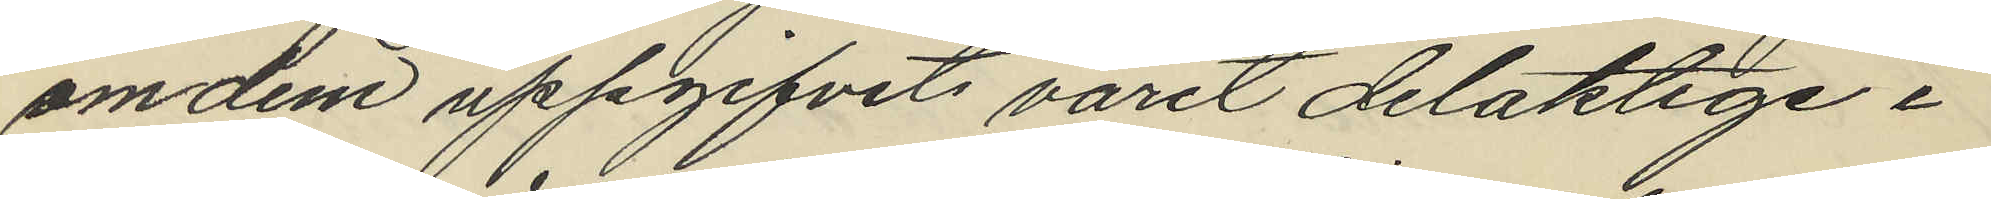om dem uppgifvits varit delaktige i
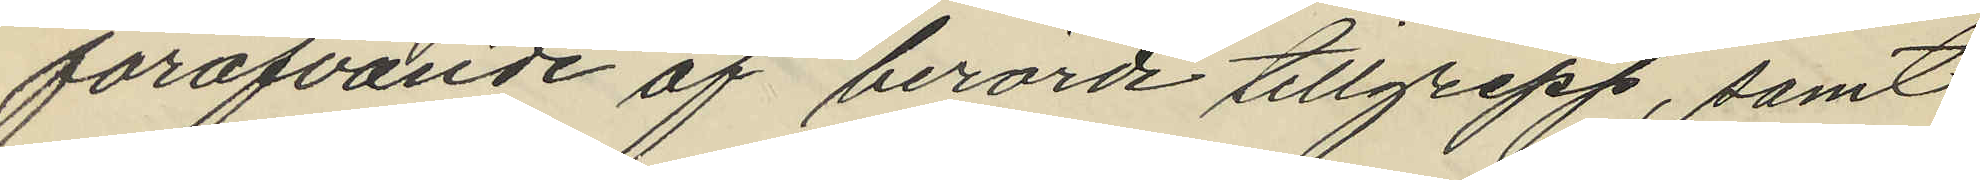forofvande af berörde tillgrepp, samt
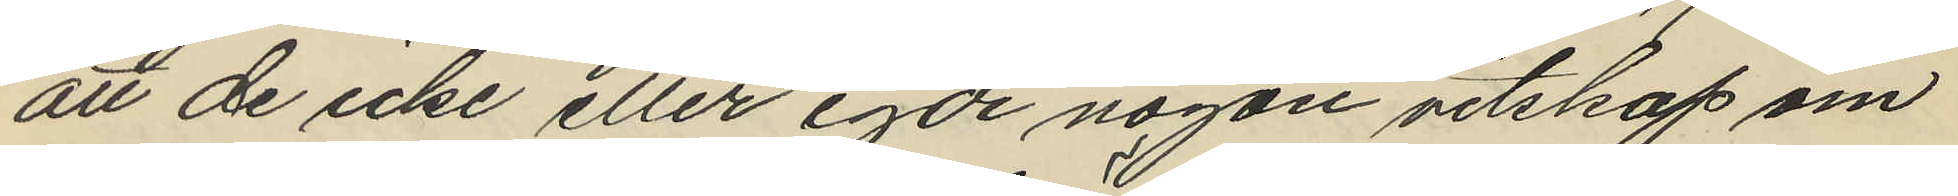att de icke eller egde någon vetskap om
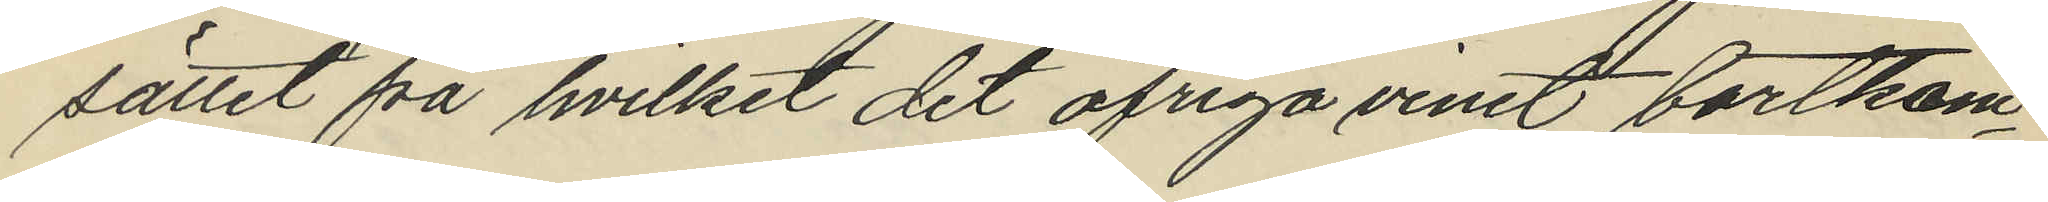sättet på hvilket det öfriga vinet bortkom¬
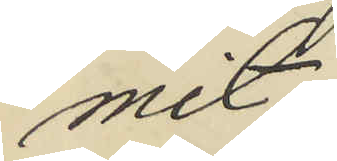mit.
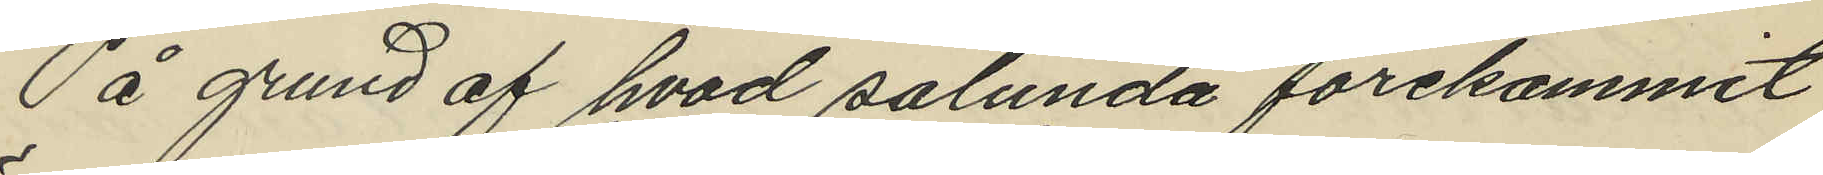På grund af hvad sålunda förekommit
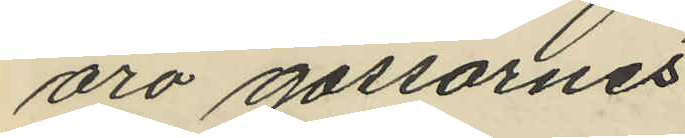äro gossarnes
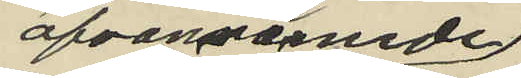ofvannämnde
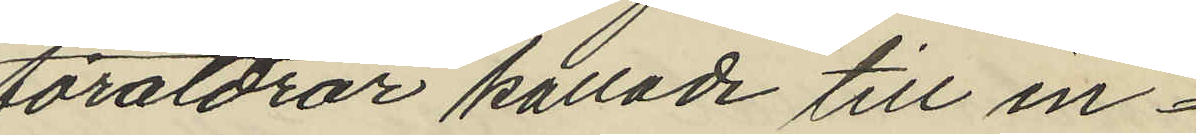föräldrar kallade till in¬
